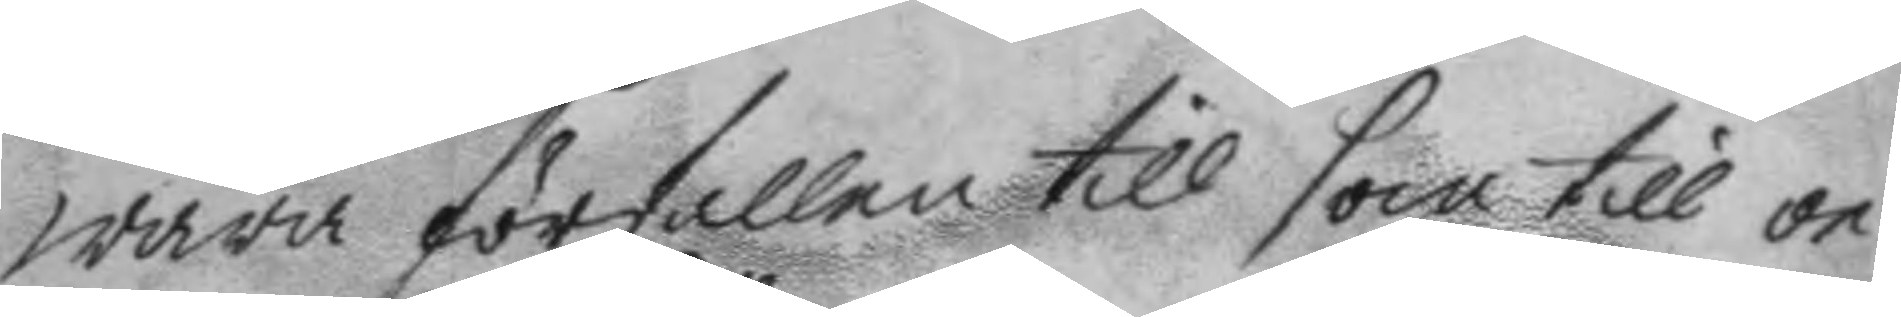wara förfallen till som till oe¬
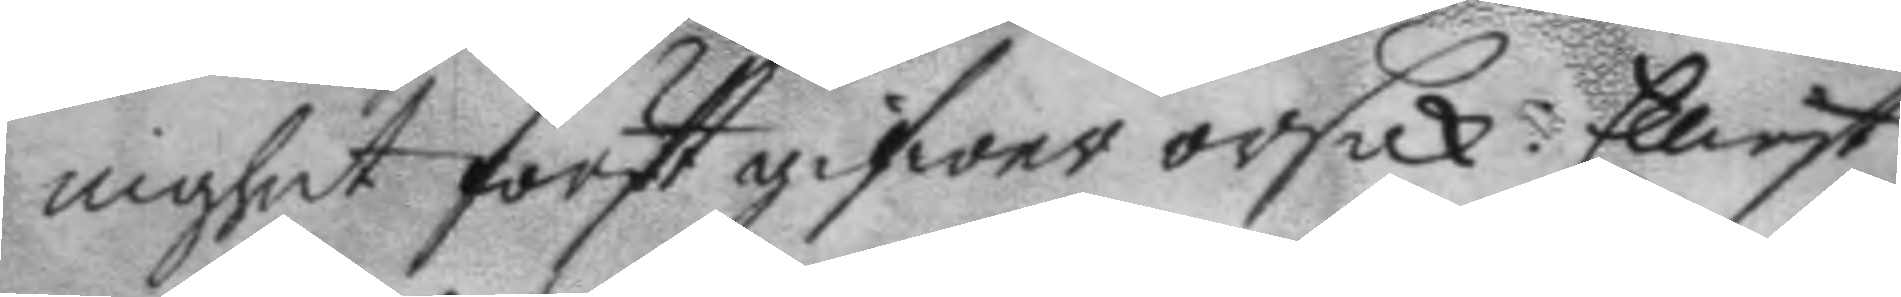nighet först gifwer orsak: Eliest
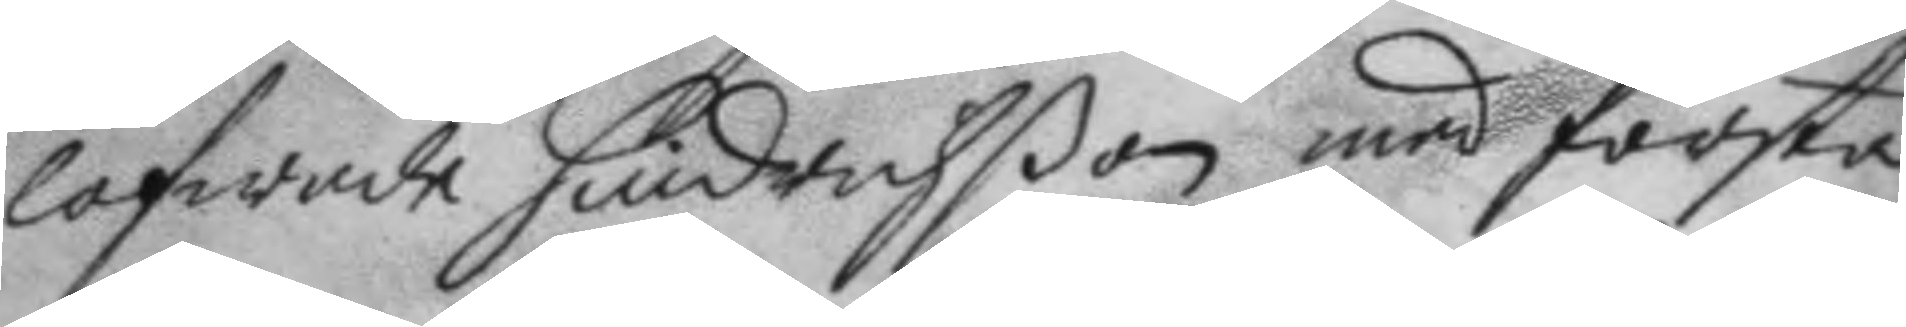lofwade hinderßon med första
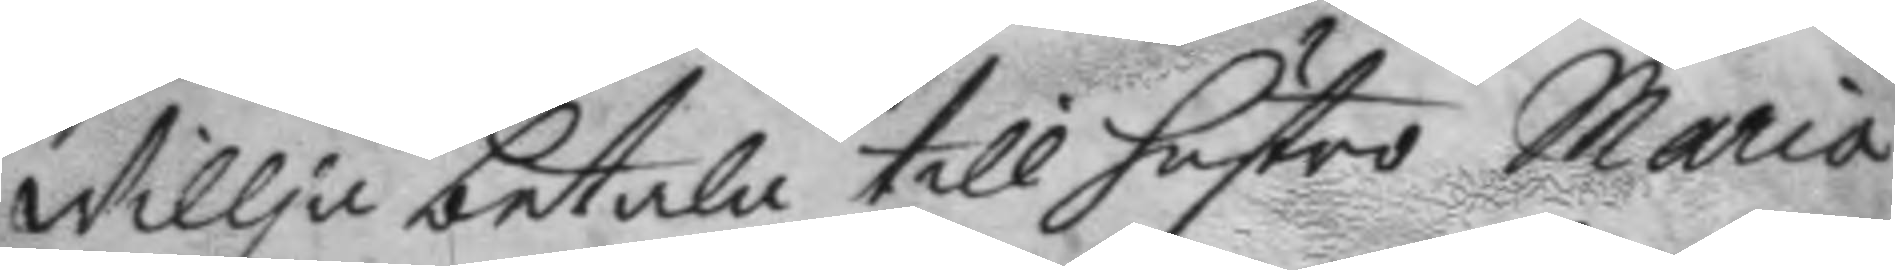Willja betala till hustro Maria
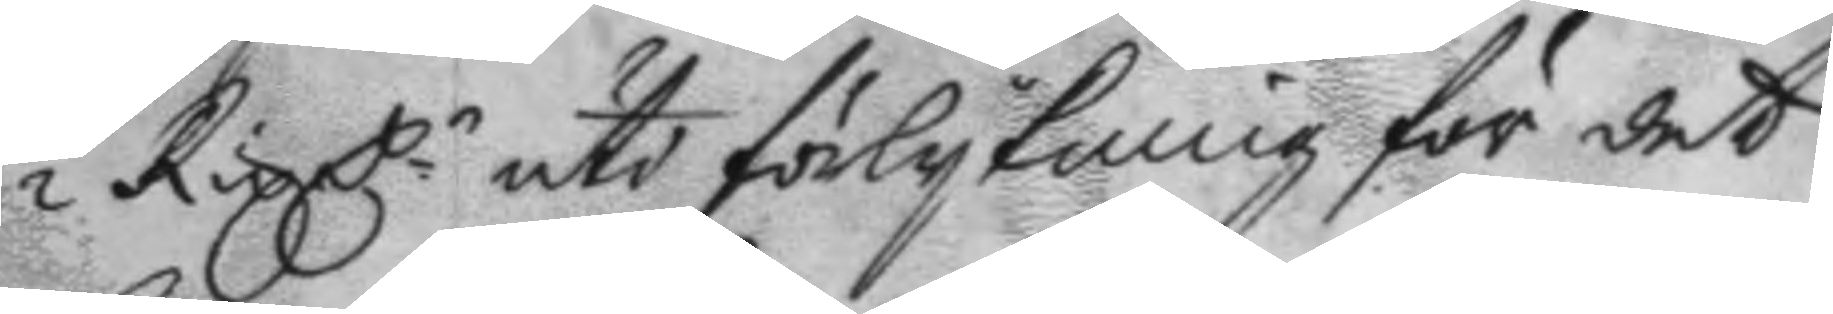½ Rix C.r uti förlykning för det
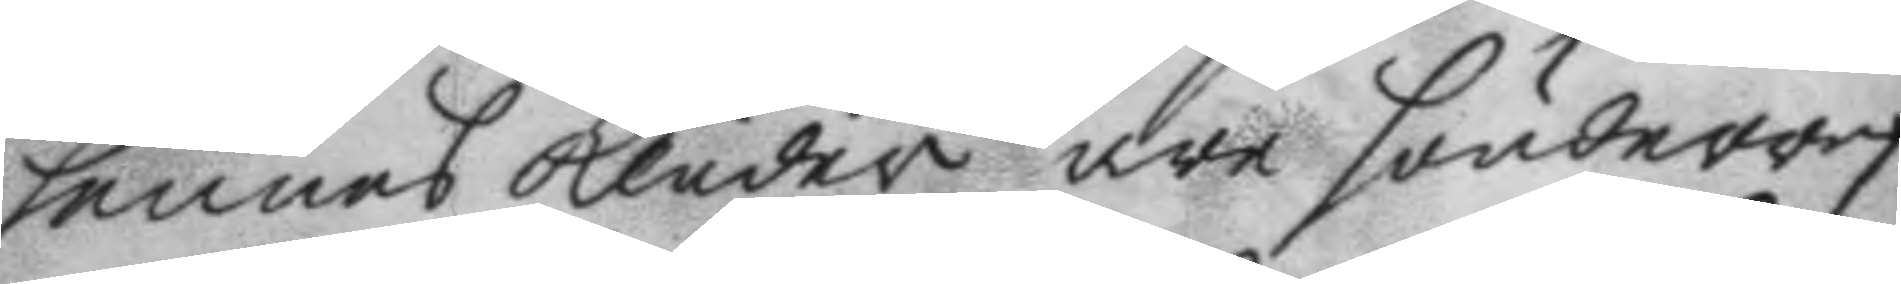hennes kläder äre sönderref¬
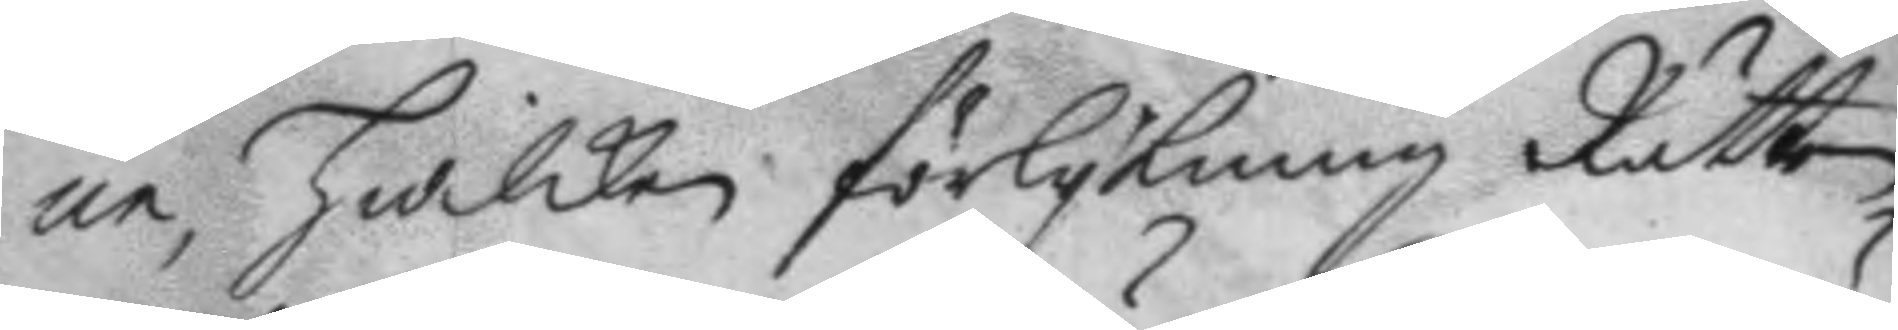ne, hwilken förlykning Rätten
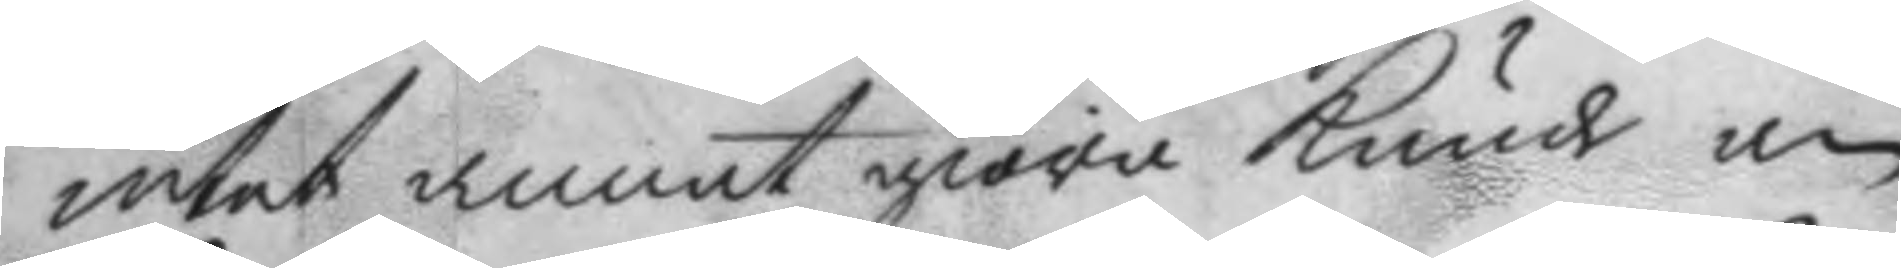intet annat giöra kunde än
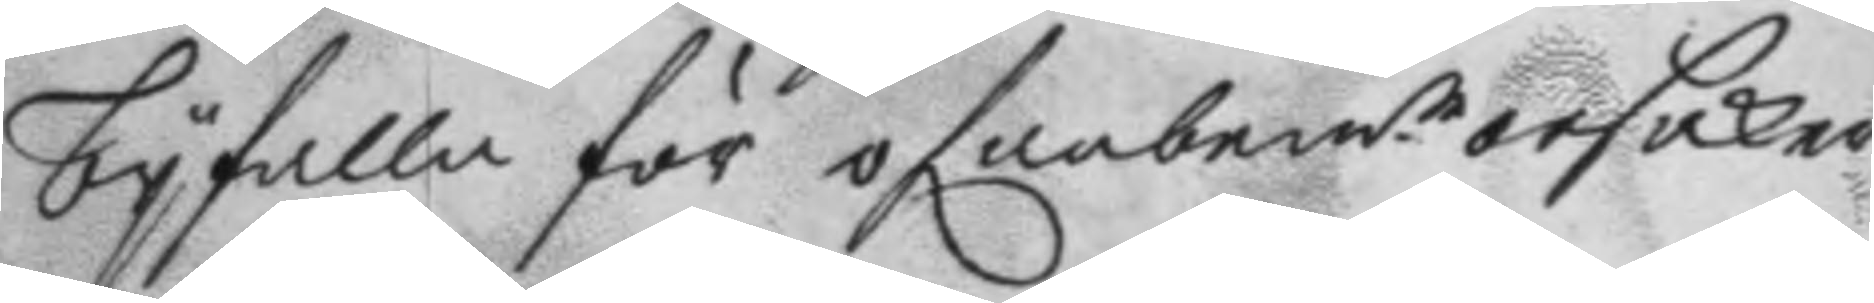byfalla för ofanbemd.e orsaken
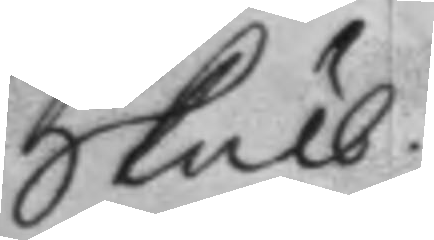skull.
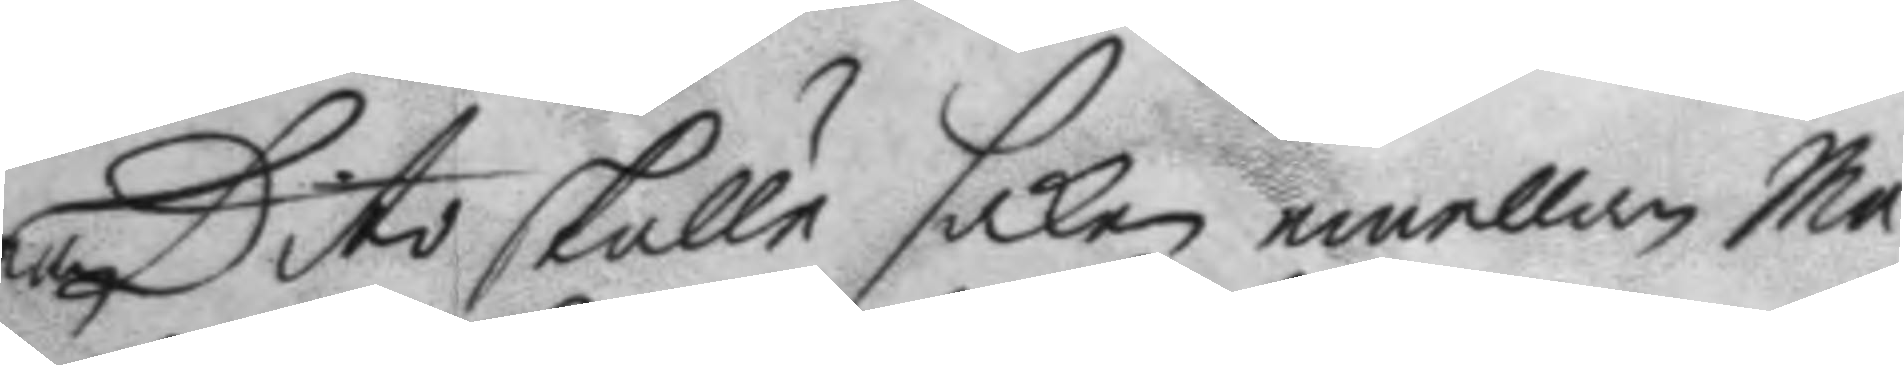Dito skulle saken emellan Ma¬
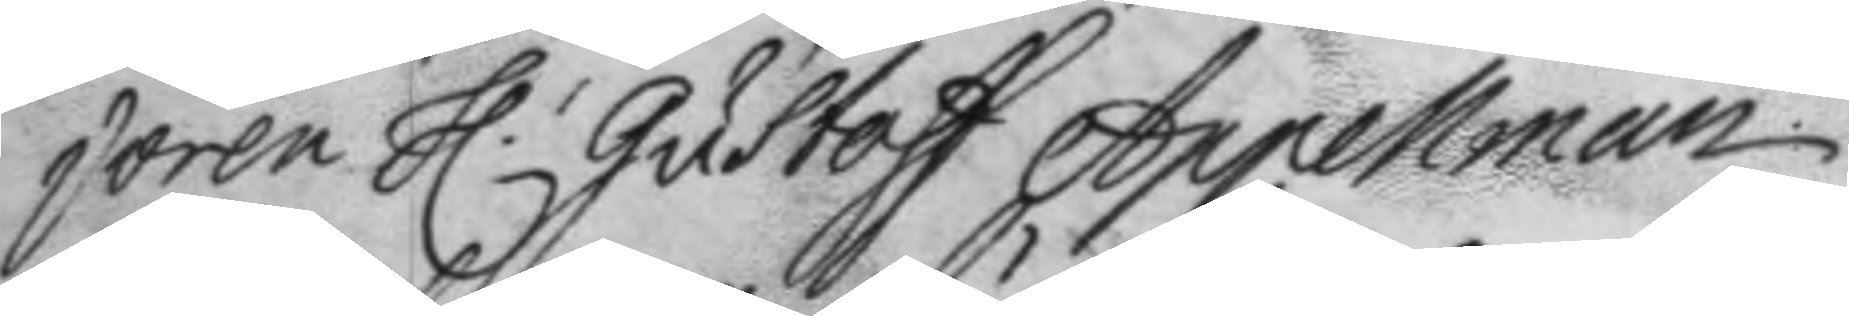joren h.r Gustaff Appelman
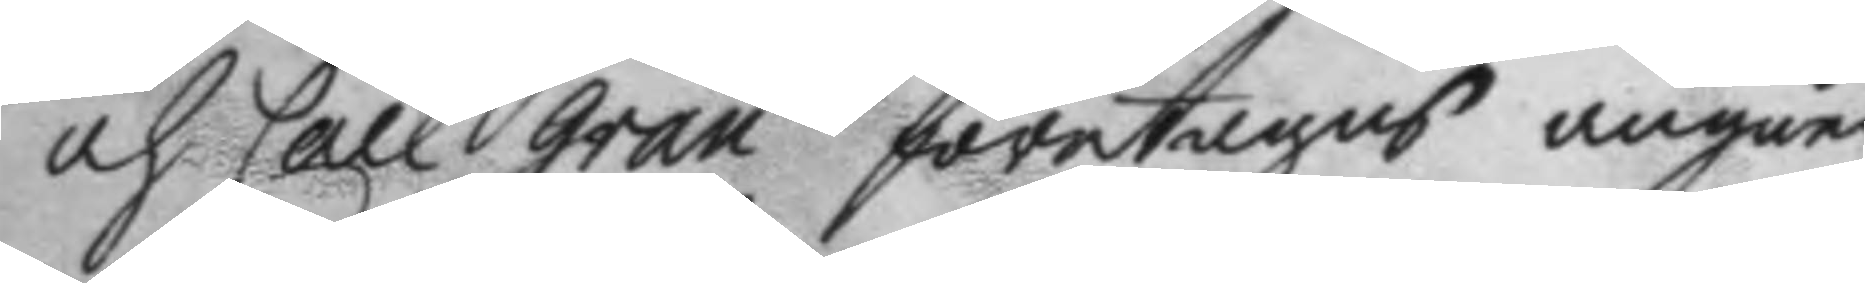och Carl Gran företagas angåen¬
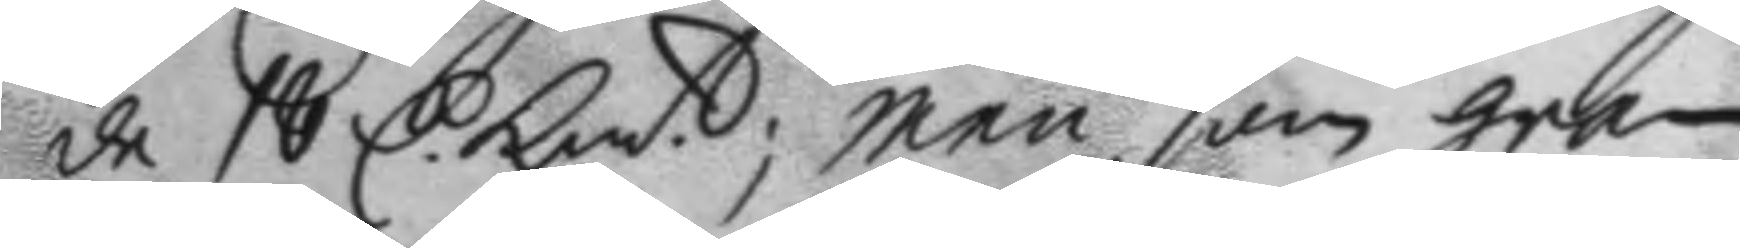de 18 C. Km.t; men som gran
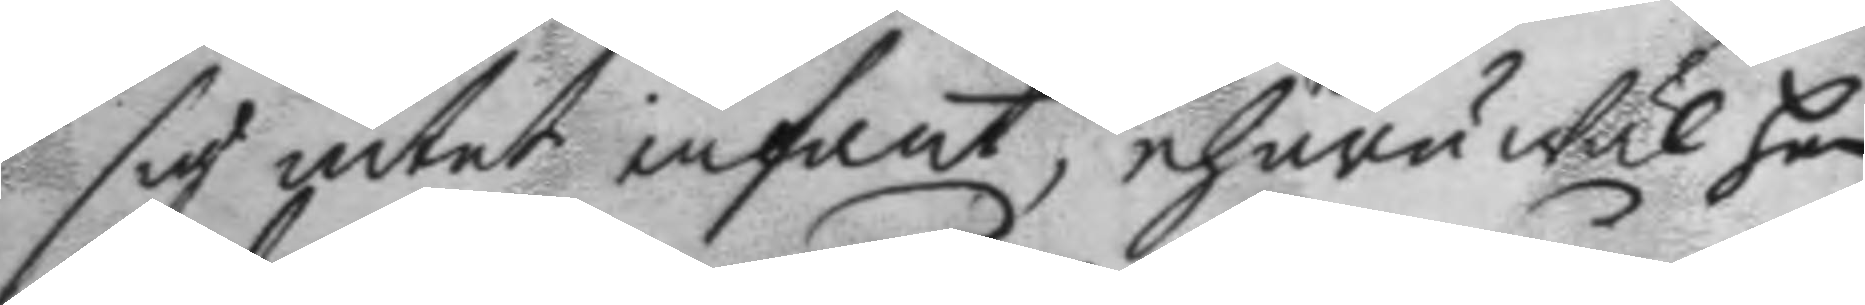sig intet infant, ehuru Wäl han
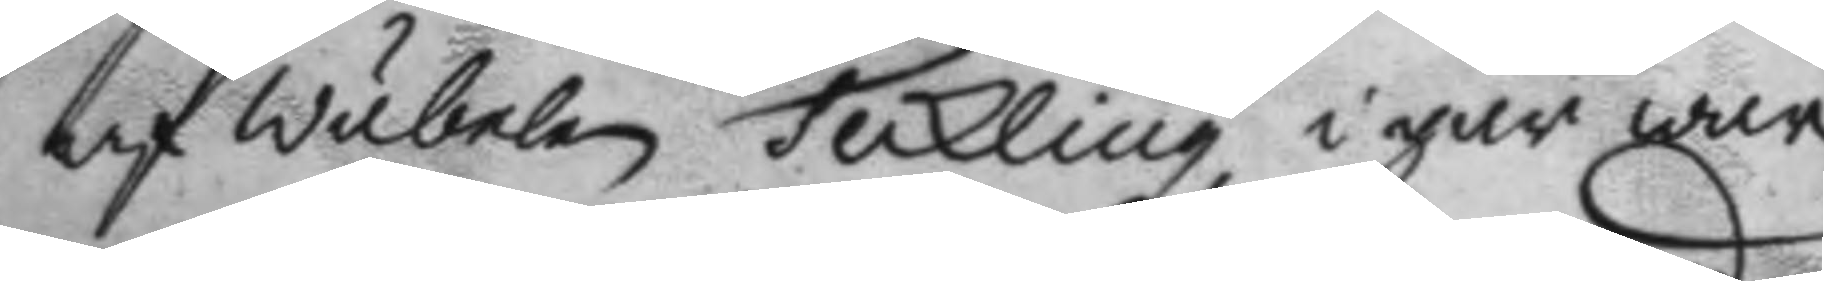af Wäbelen Teckling igår war
